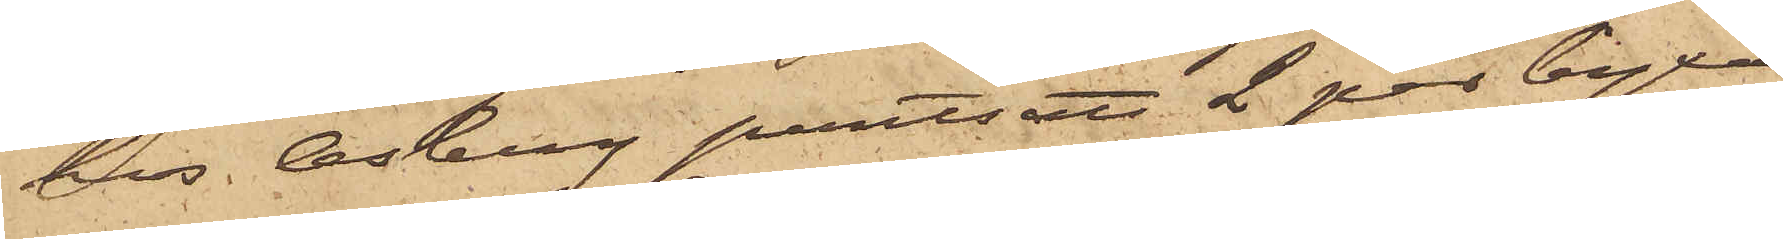hos Osberg pantsatt 2 par byxor
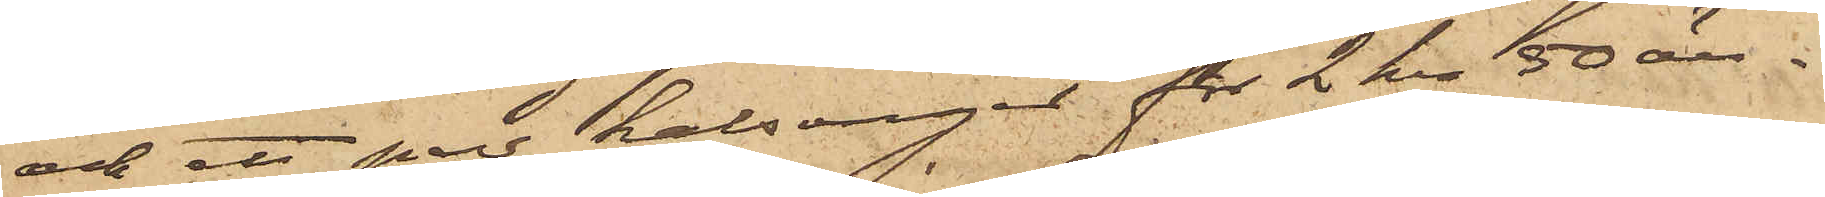och ett par kalsonger för 2 kr 50 öre.
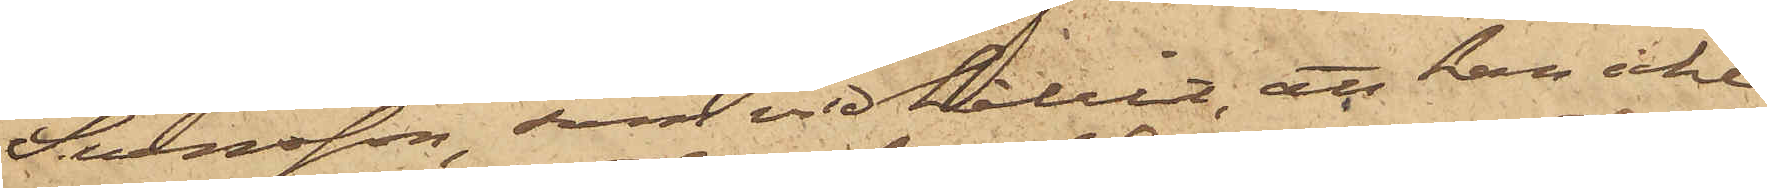Svensson, som vidhållit, att han icke
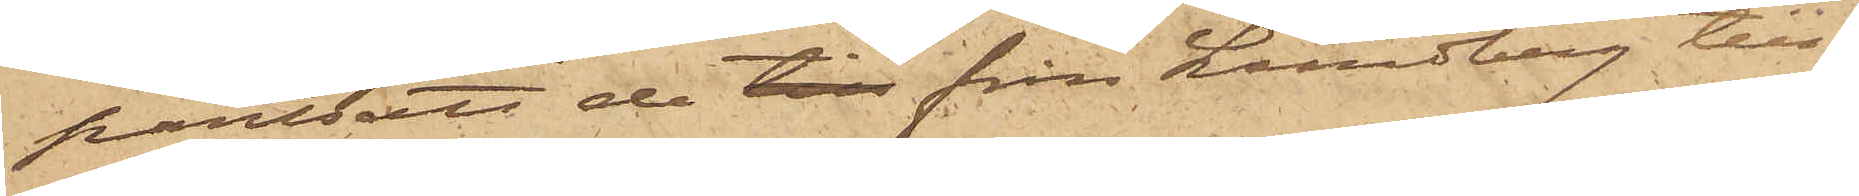pantsatt de till från Lundberg till¬
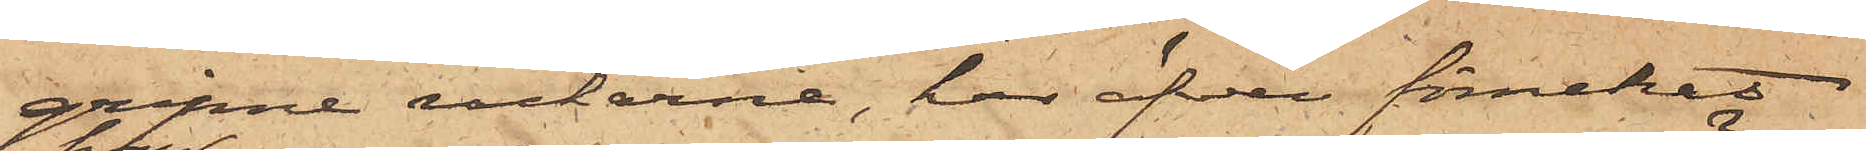gripne rockarne, har äfven förnekat
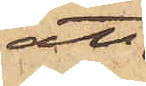att
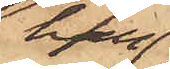han
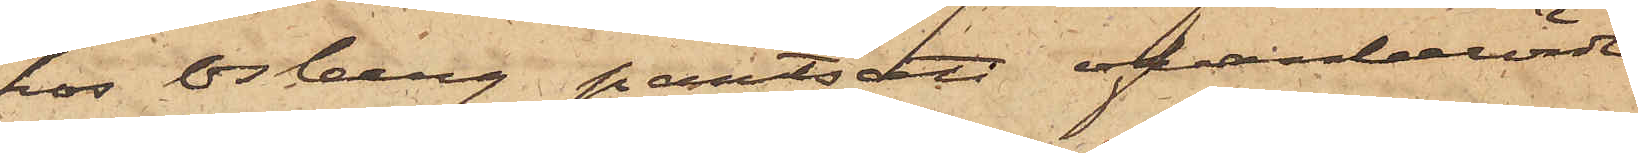hos Osberg pantsatt ofvanberörde
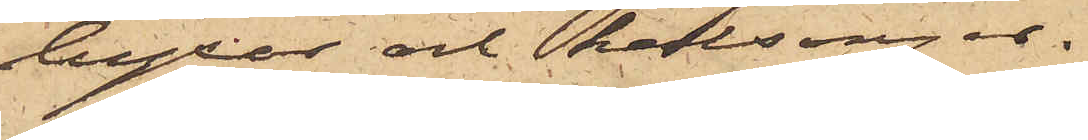byxor och kalsonger.
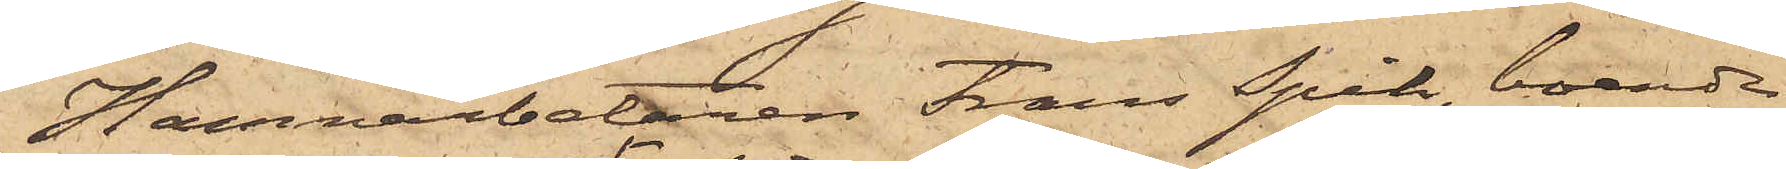Hamnarbetaren Frans Spik, boende
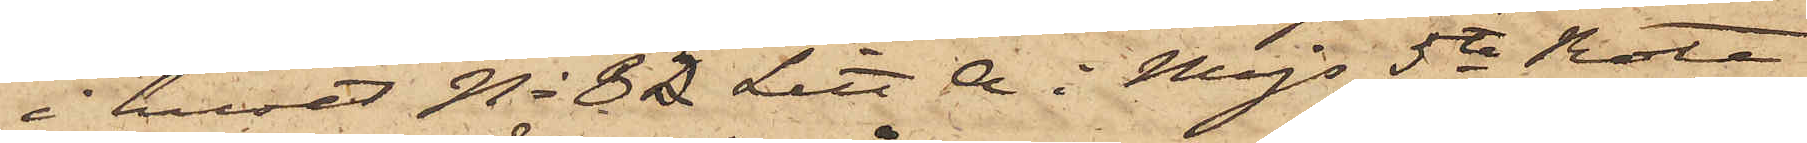i huset No 35 Litt A i Majs 5te Rote
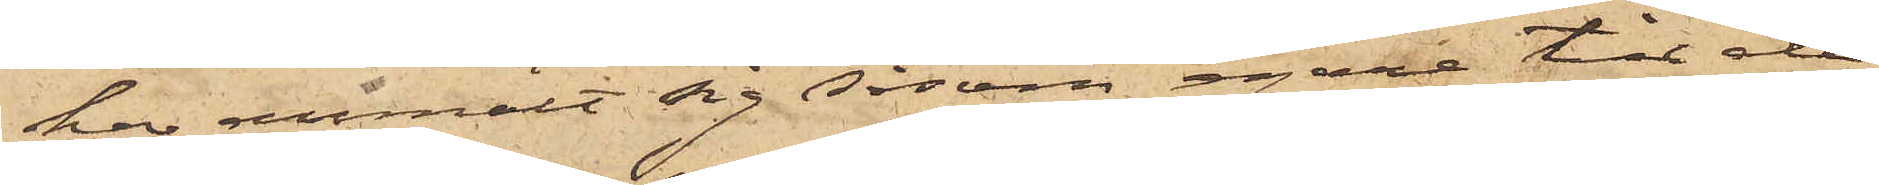har anmält sig såsom egare till de
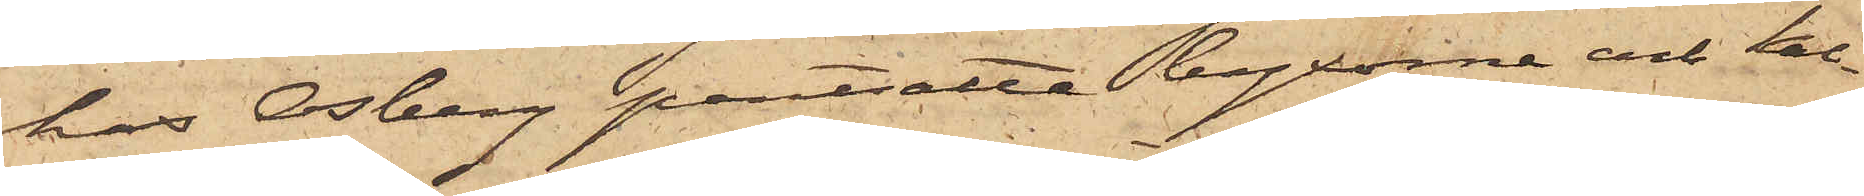hos Osberg pantsatta byxorna och kal¬
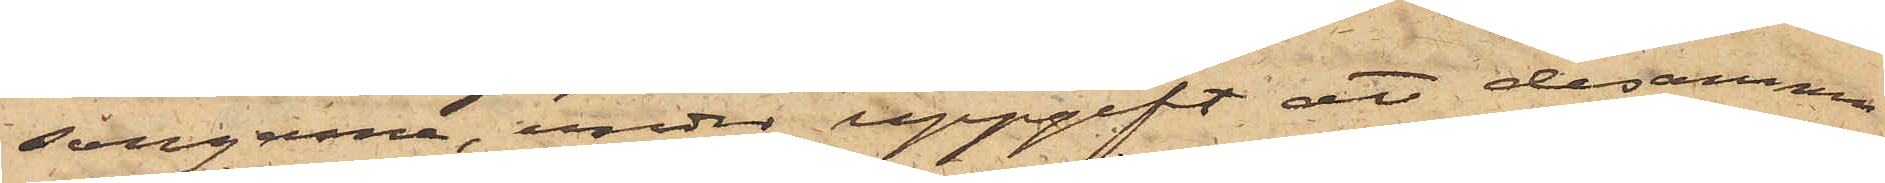songerna, under uppgift att desamma
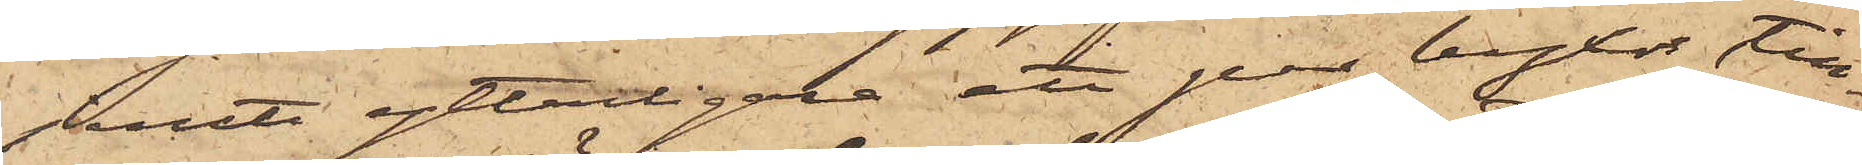jemte ytterligare ett par byxor till¬
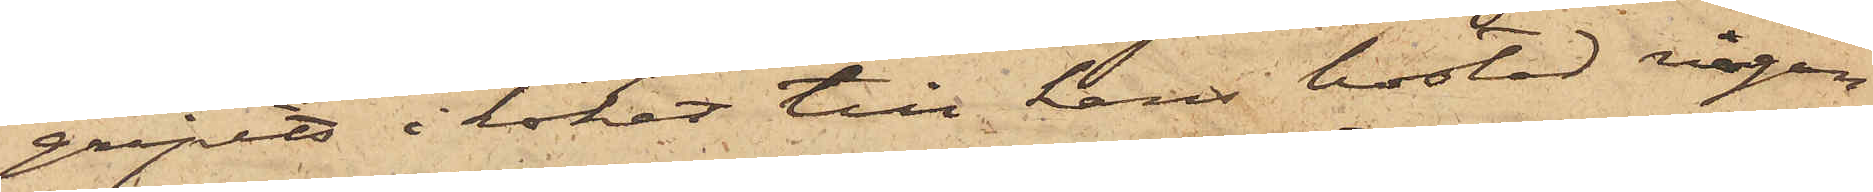gripits i köket till hans bostad någon
